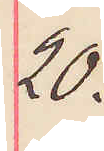20.
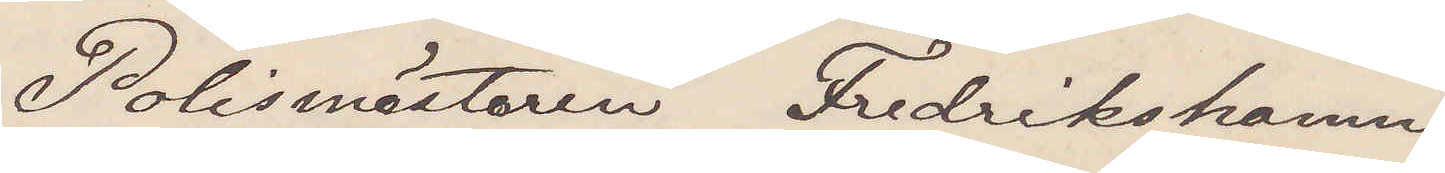Polismästaren Fredrikshamn
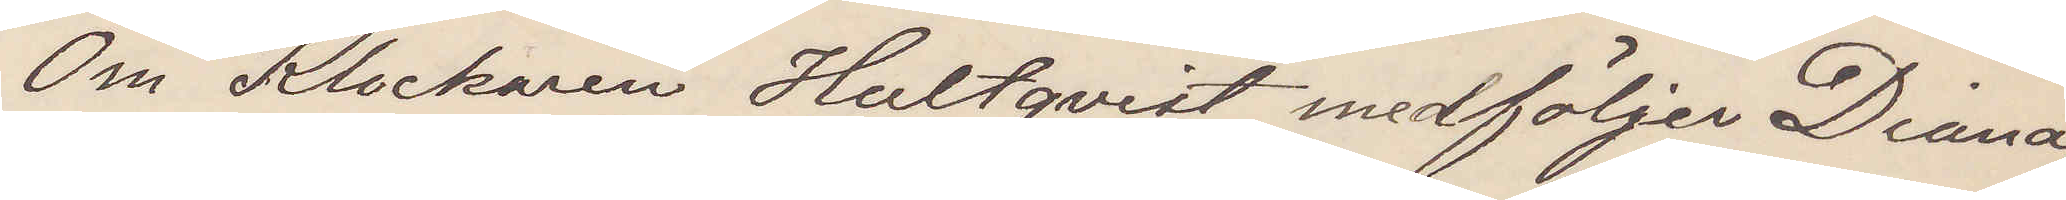Om Klockaren Hultqvist medföljer Diana,
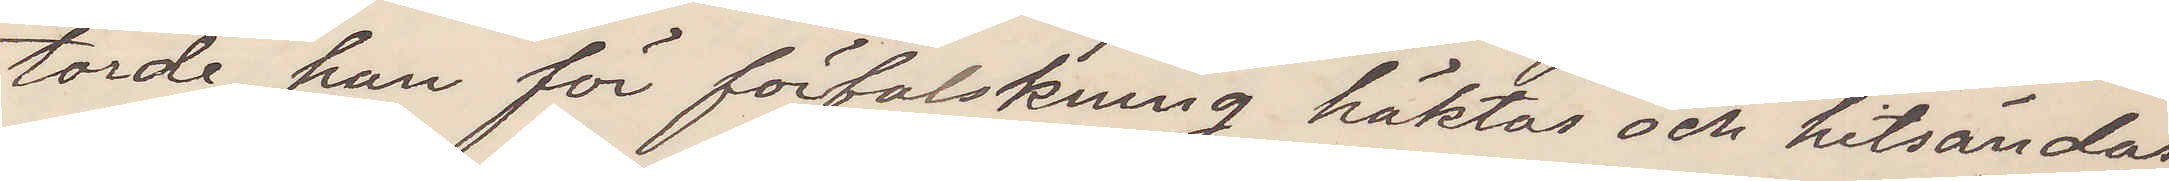torde han för förfalskning häktas och hitsändas.
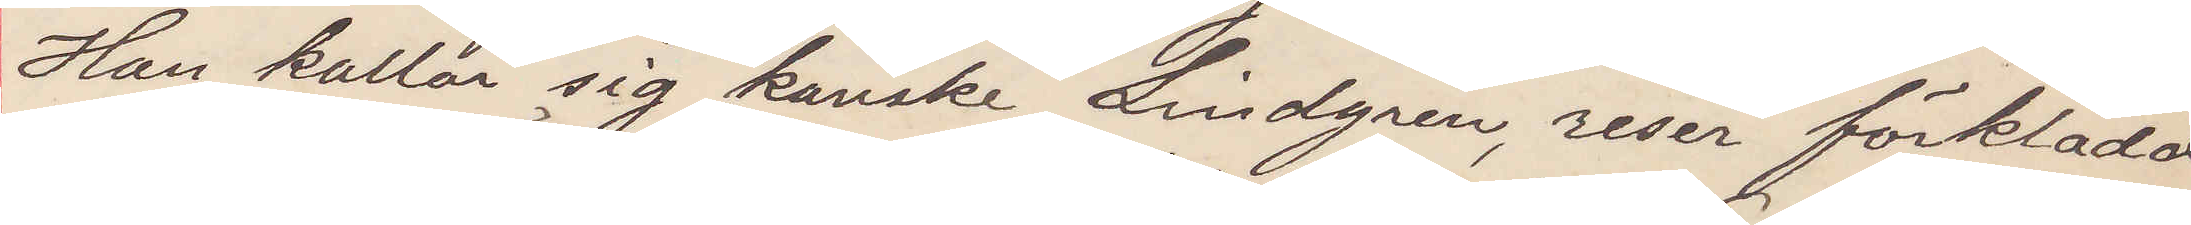Han kallar sig kanske Lindgren, reser förklädd
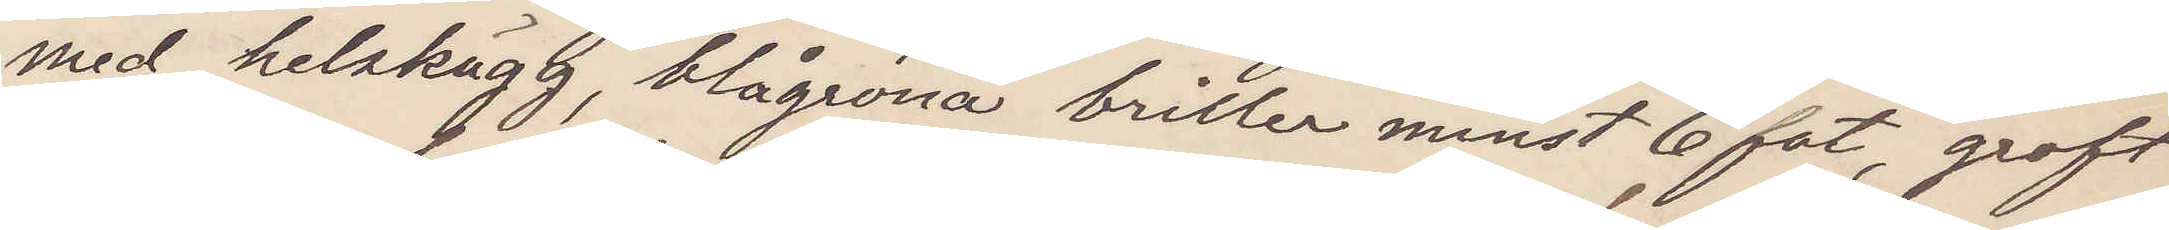med helskägg, blågröna briller minst 6 fot, groft
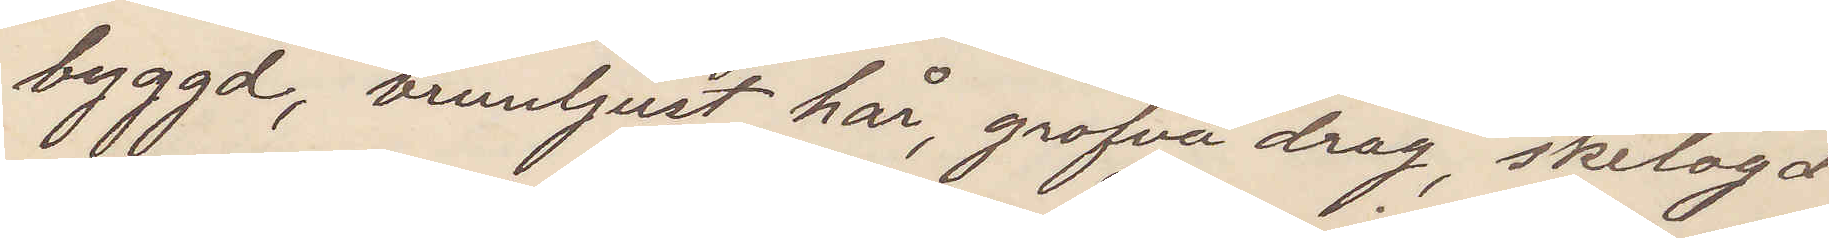byggd, brunljust hår, grofva drag, skelögd
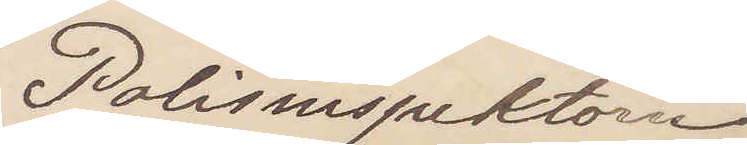Polisinspektorn
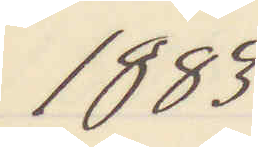1883
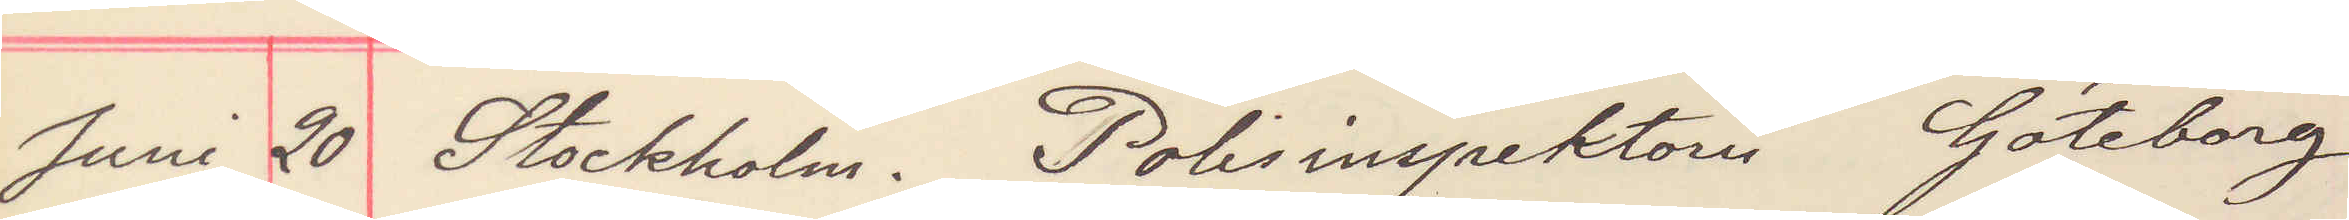Juni 20 Stockholm. Polisinspektorn Göteborg
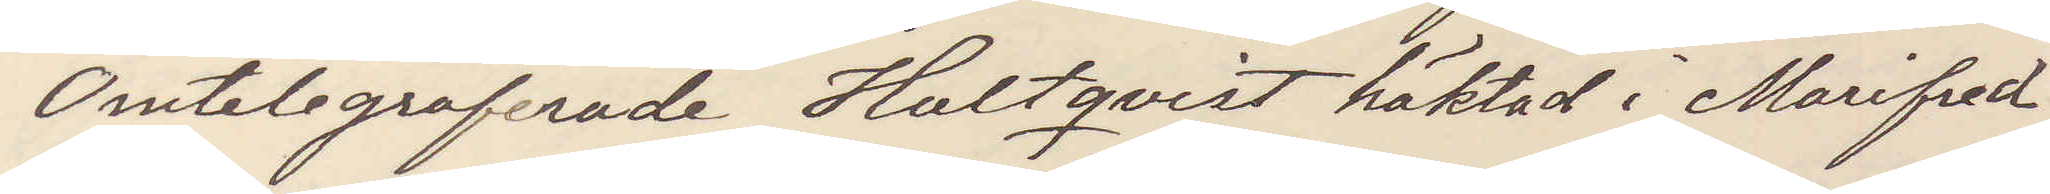Omtelegraferade Hultqvist häktad i Mariefred
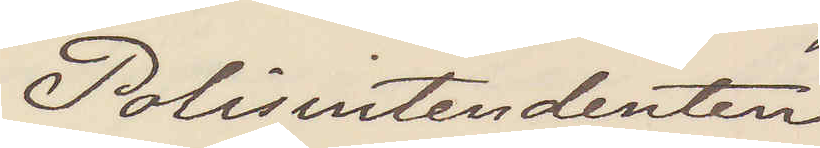Polisintendenten
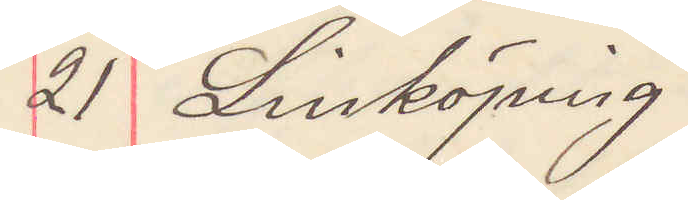21 Linköping
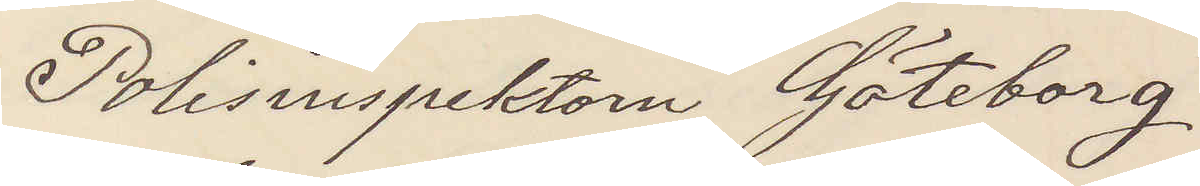Polisinspektorn Göteborg
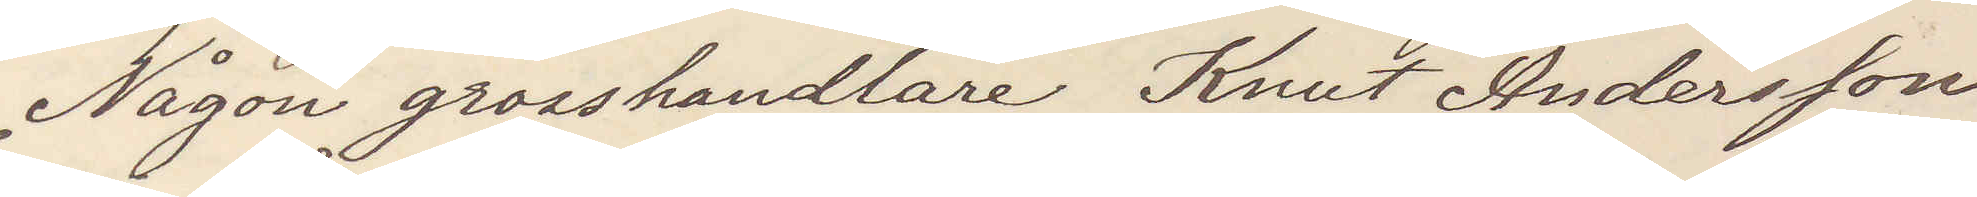Någon grosshandlare Knut Andersson
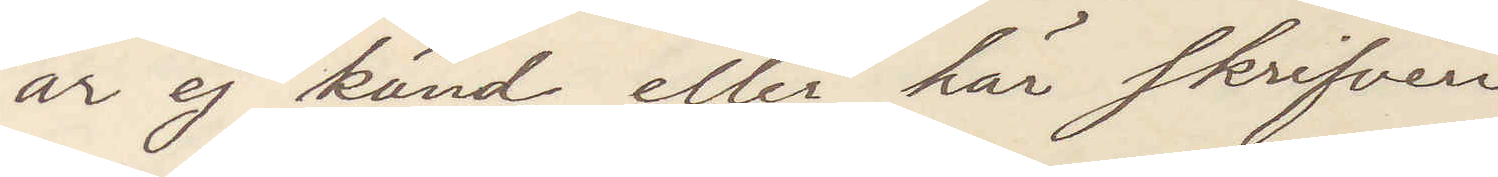är ej känd eller här skrifven
